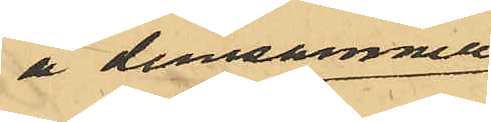å densamma
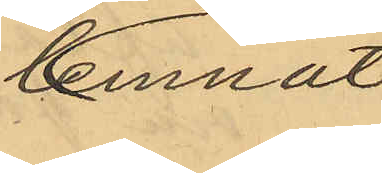lemnat
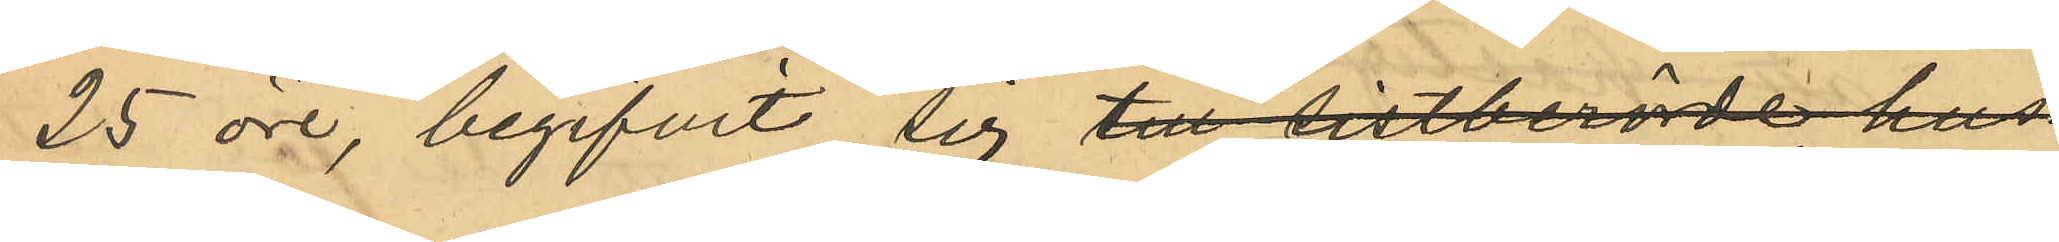25 öre, begifvit sig till sistberörde hus
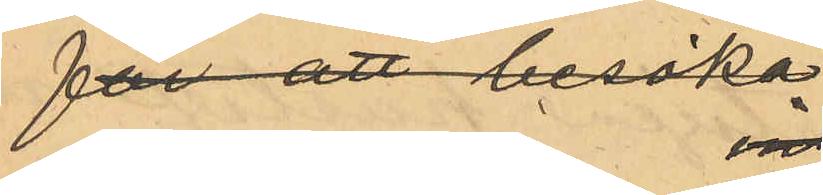för att besöka
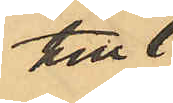till
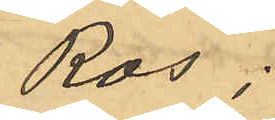Ros
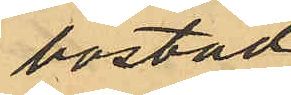bostad;
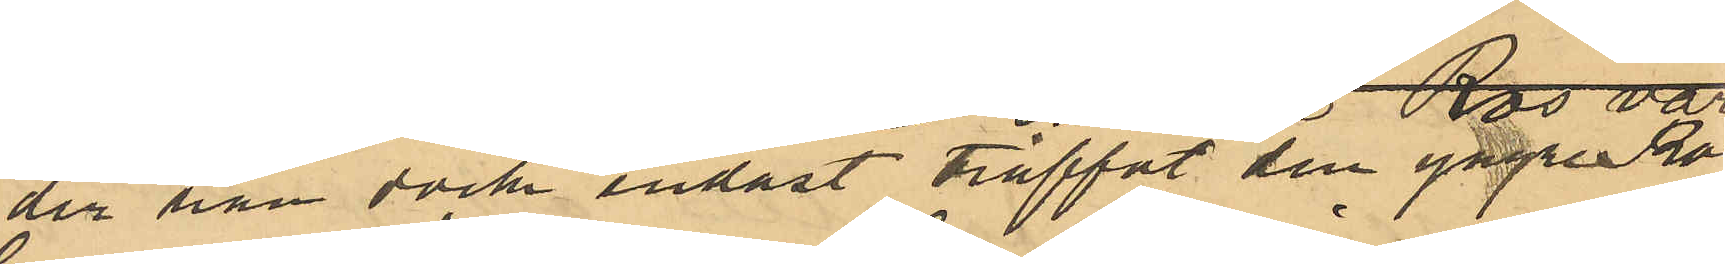der han dock endast träffat den yngre Ros;
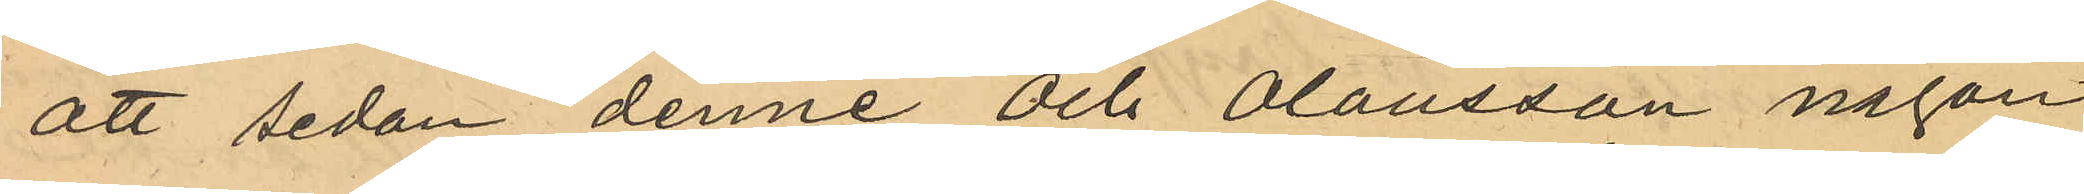att sedan denne och Olausson någon
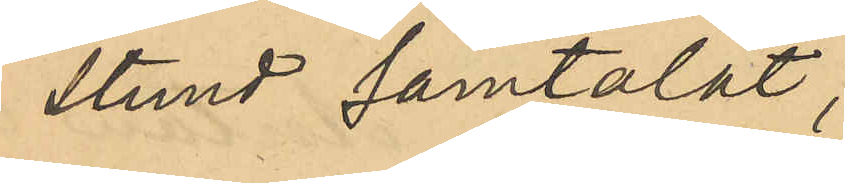stund samtalat,
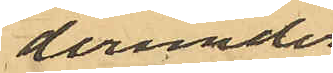derunder 
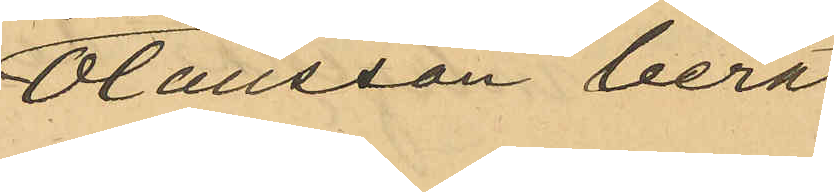Olausson berät¬
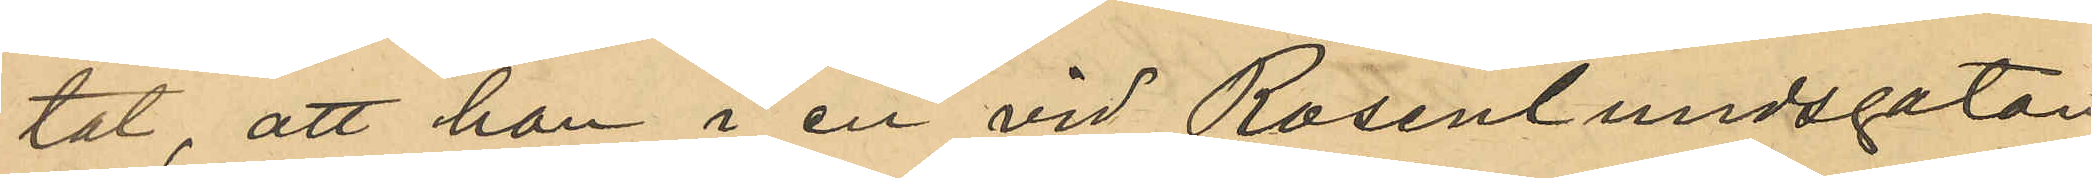tat, att han i en vid Rosenlundsgatan
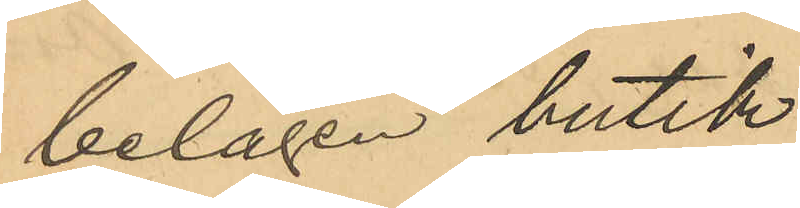belägen butik
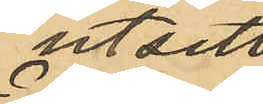utsett
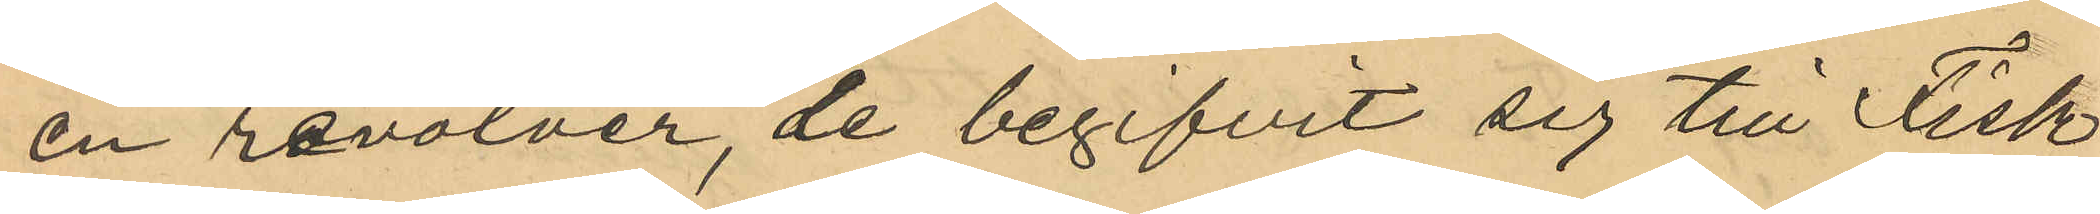en revolver, de begifvit sig till Fisk¬
